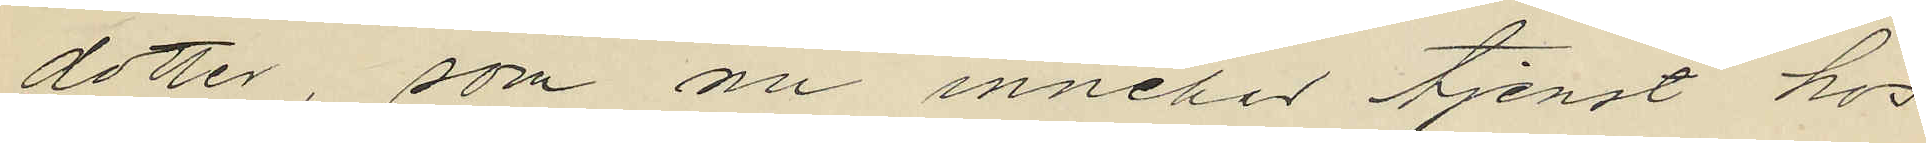dotter, som nu innehar tjenst hos
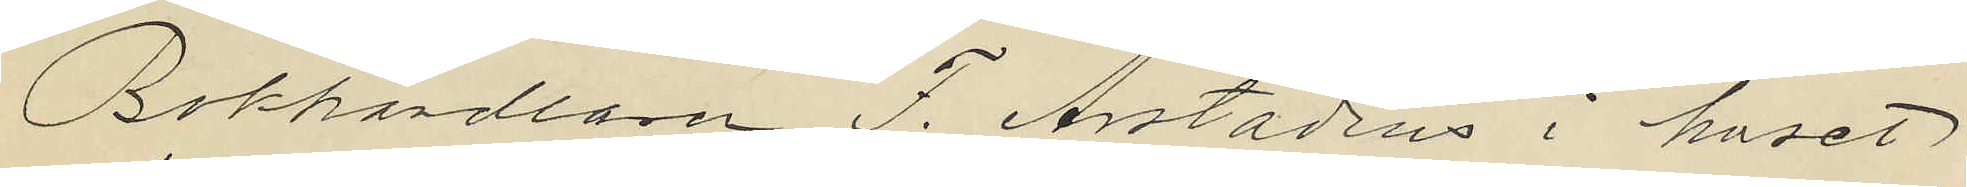Bokhandlaren F. Arstadius i huset
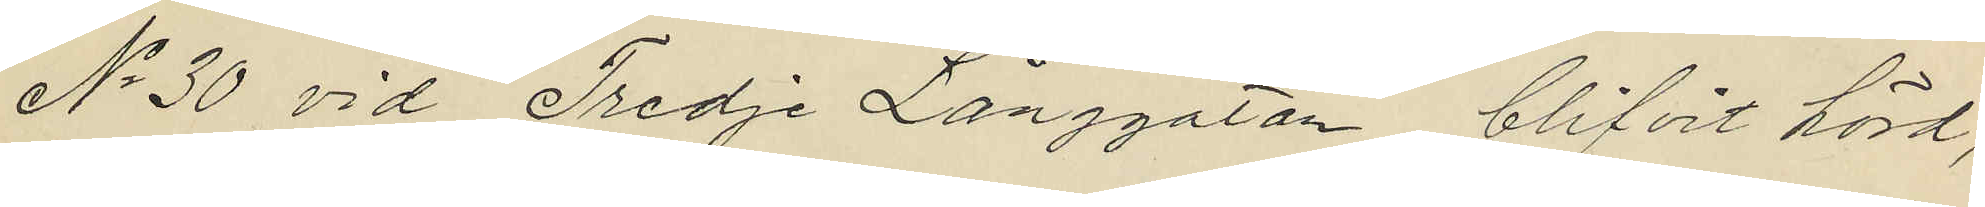No 30 vid Tredje Långgatan, blifvit hörd,
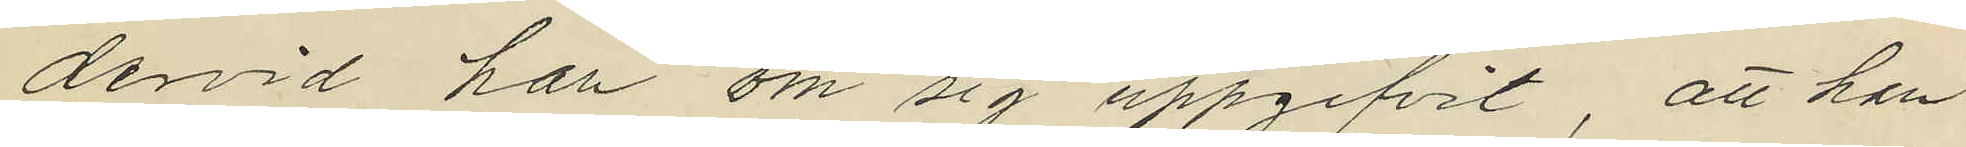dervid hon om sig uppgifvit, att hon
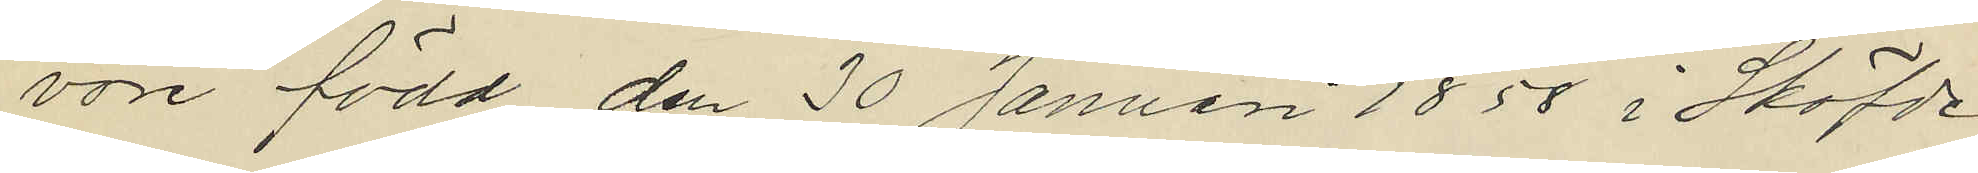vore född den 30 Januari 1858 i Sköfde
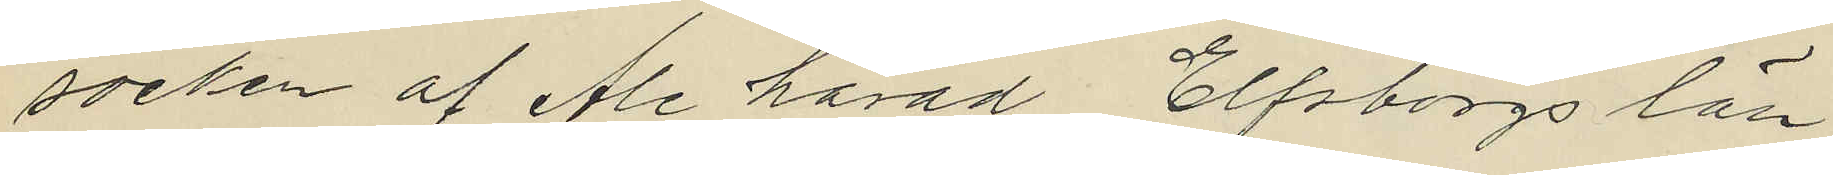socken af Ale härad Elfsborgs län
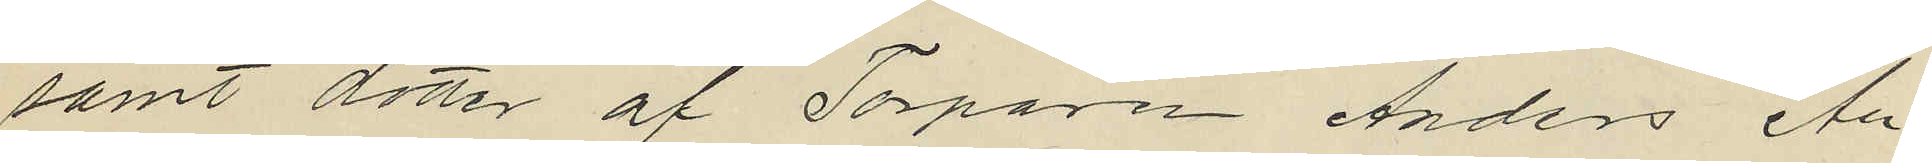samt dotter af Torparen Anders An¬
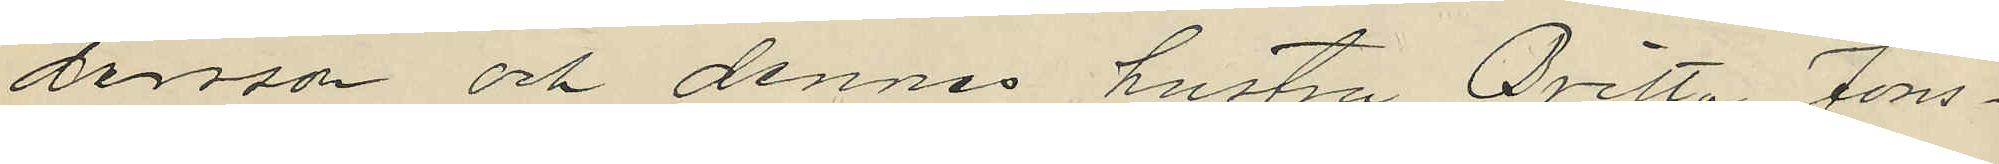dersson och dennes hustru Britta Jons¬
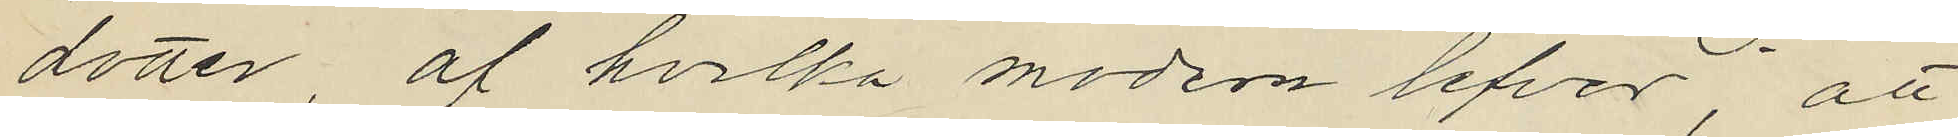dotter, af hvilka modern lefver; att
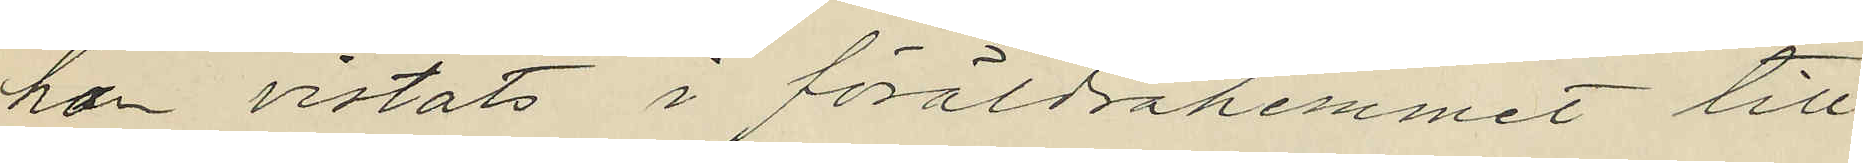hon vistats i föräldrahemmet till
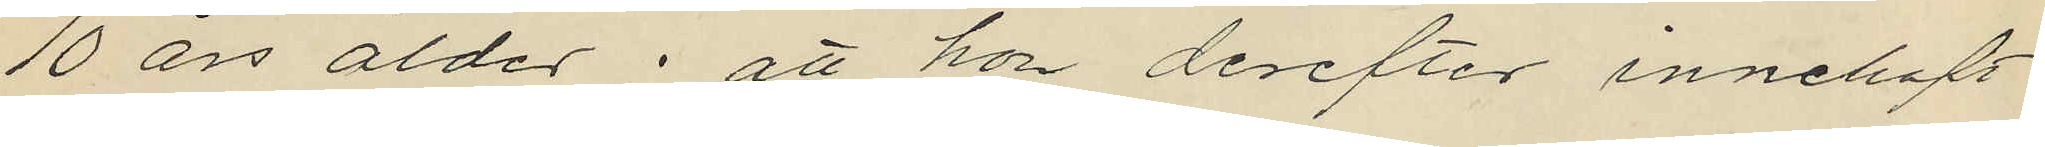10 års ålder; att hon derefter innehaft
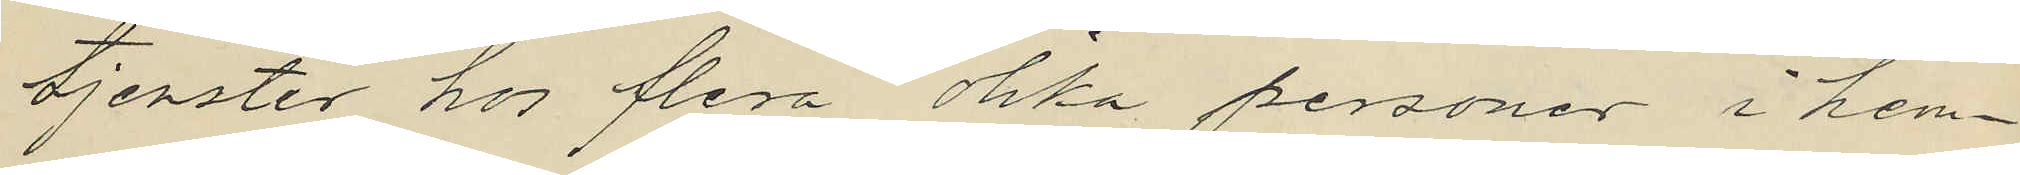tjenster hos flera olika personer i hem¬
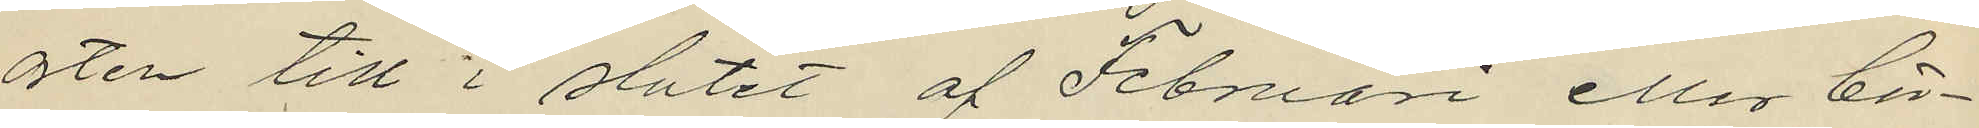orten till i slutet af Februari eller bör¬
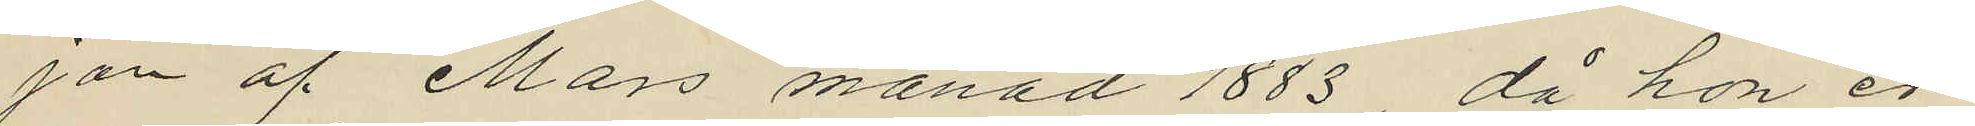jan af Mars månad 1883 då hon er¬
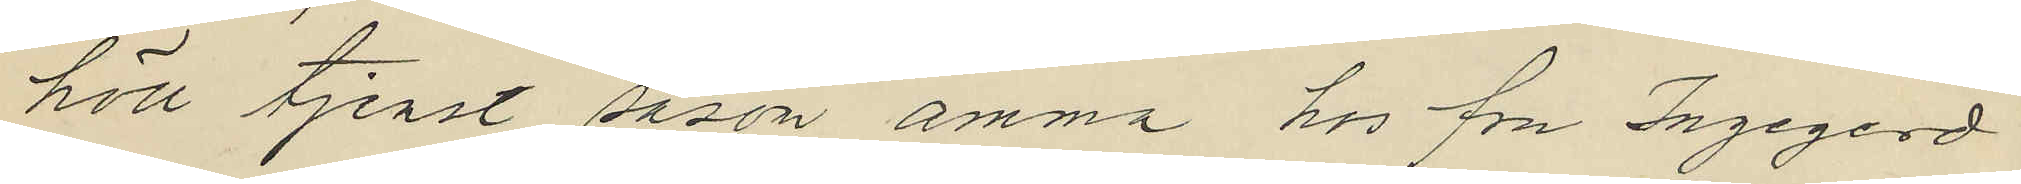höll tjenst såsom amma hos fru Ingegerd
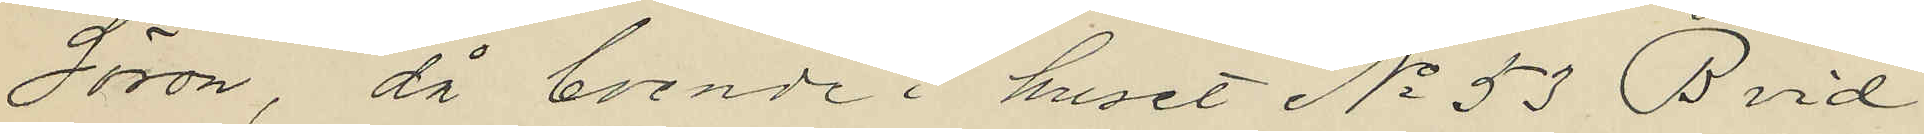Söron, då boende i huset No 53 B vid
